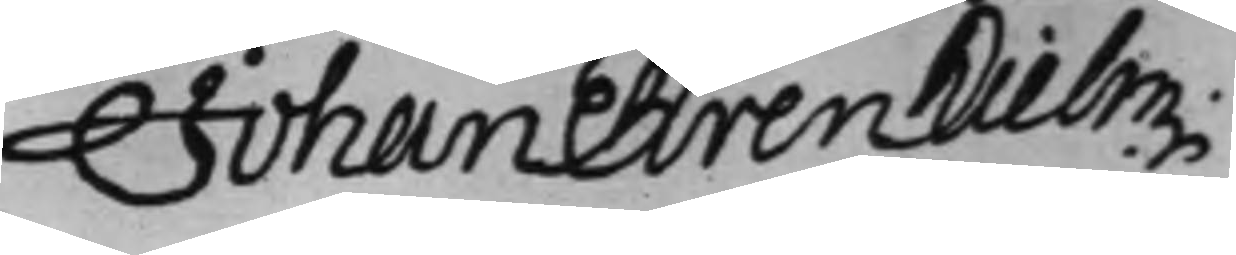Johan Ehrenhielm.
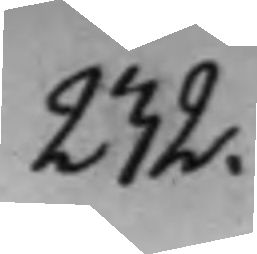232.
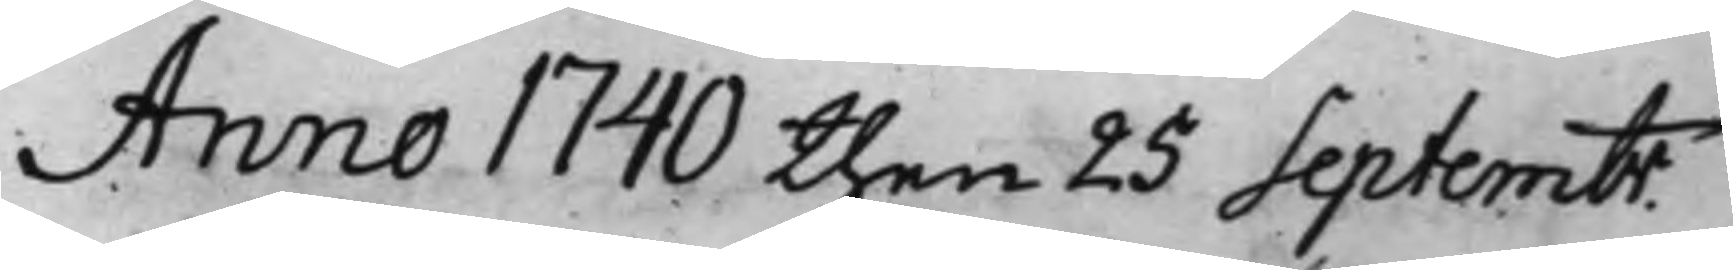Anno 1740 then 25 Septembr.
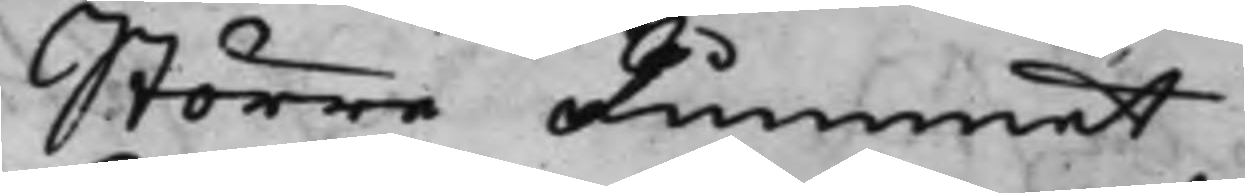Större Rummet
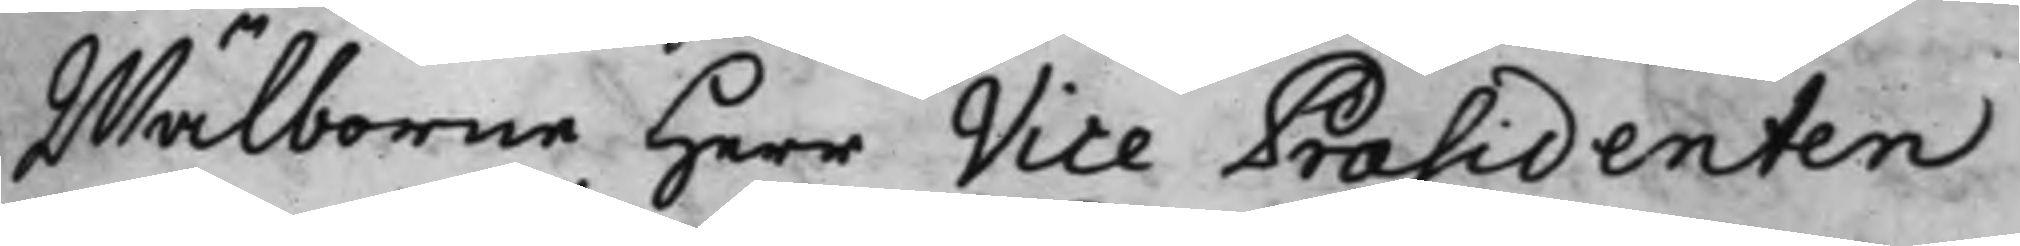Wälborne Herr Vice Præsidenten
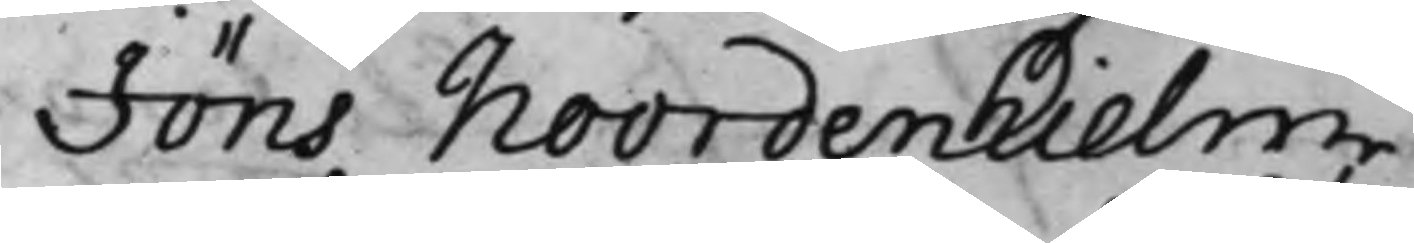Jöns Noordenhielm
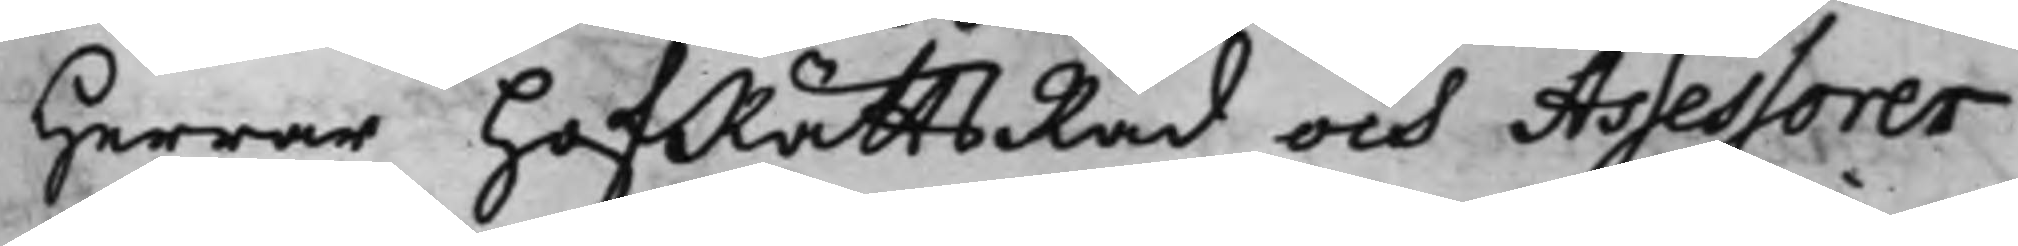Herrar HofRättsRåd och Assessorer
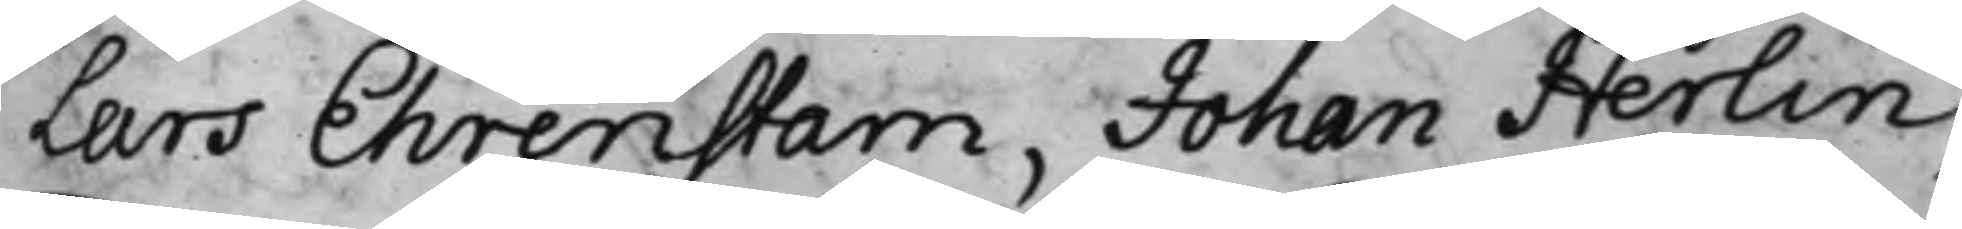Lars Ehrenstam, Johan Herlin,
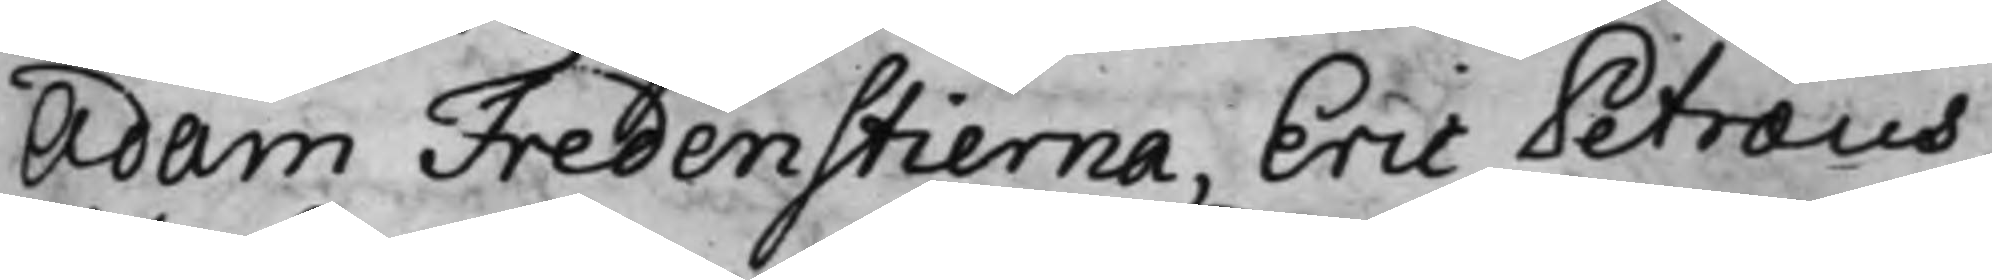Adam Fredenstierna, Eric Petræus,
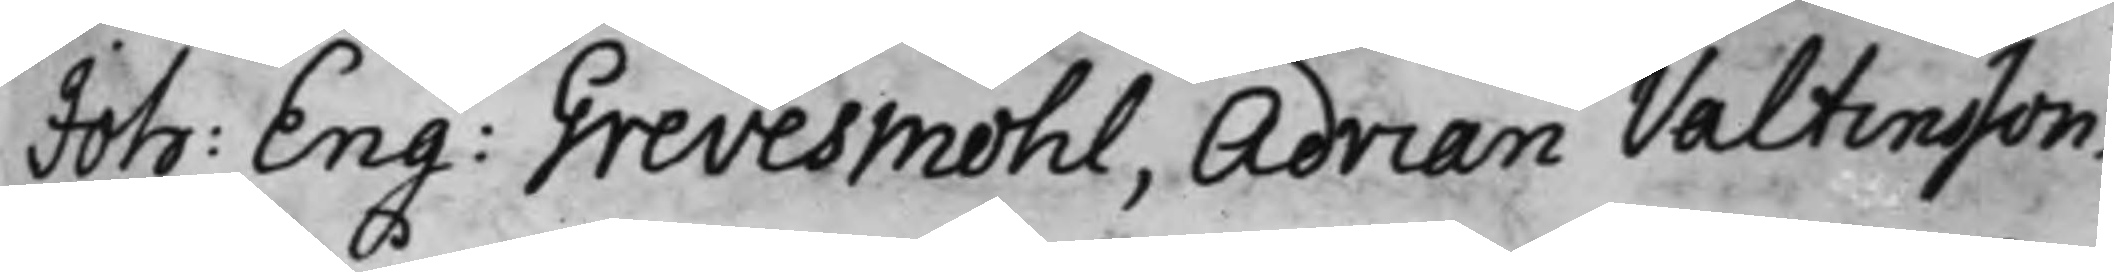Joh: Eng: Grevesmöhl, Adrian Valtinsson.
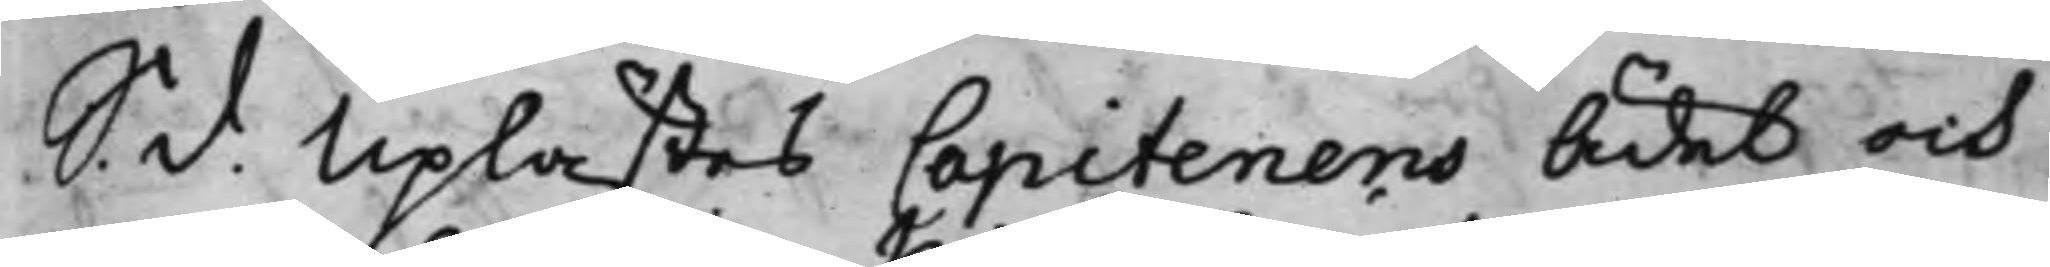S. d. Uplästes Capitenens Ädel och
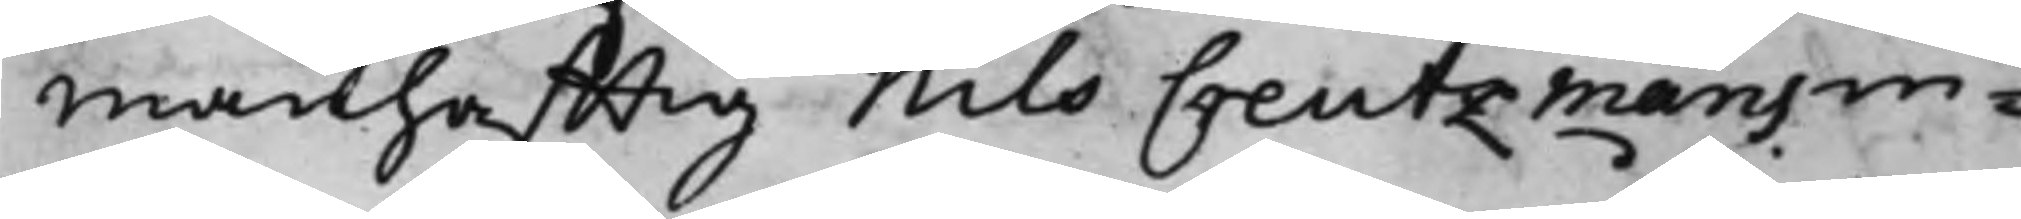manhafftig Nils Creutzmans in¬
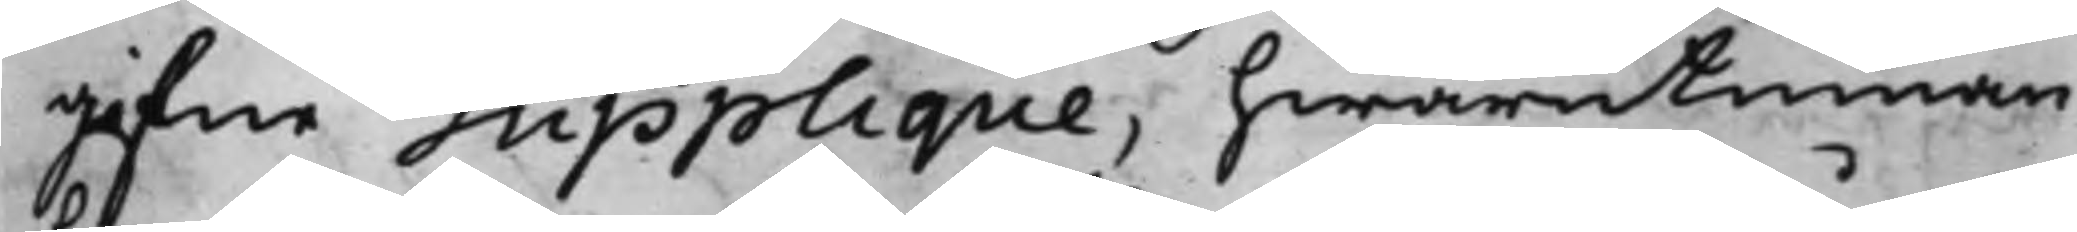gifne Supplique, hwarutinnan
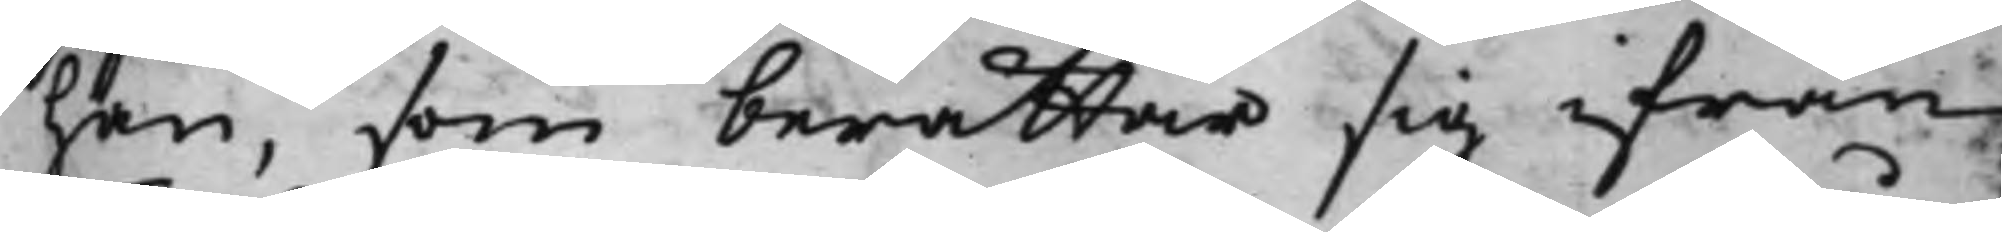han, som berättar sig ifrån
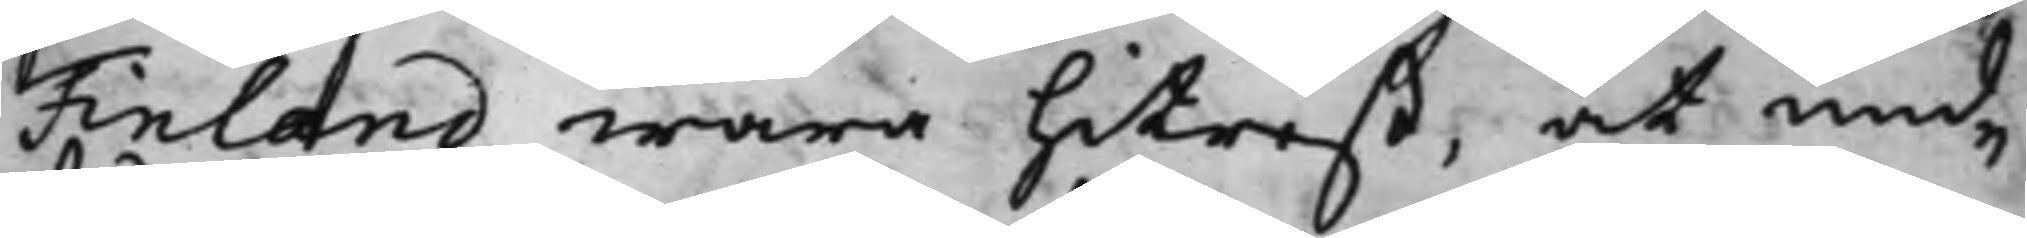Finland wara hitrest, at und¬
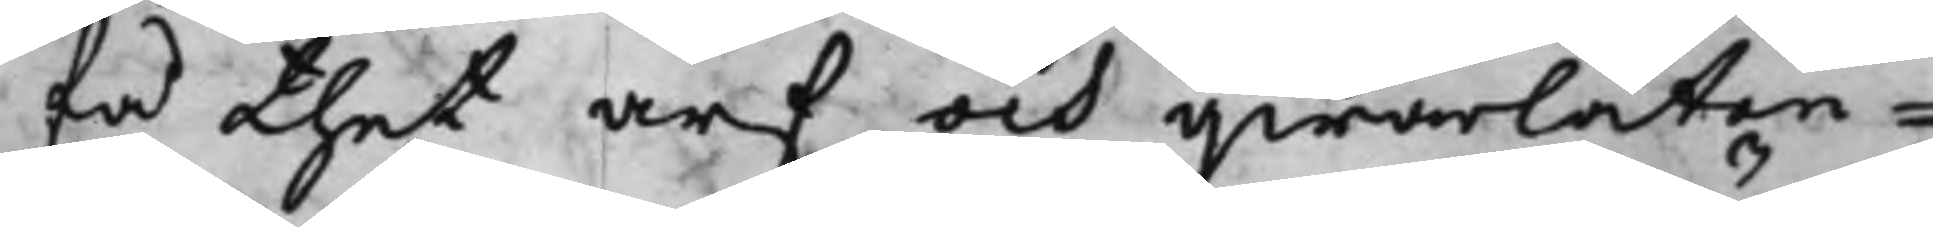få thet arf och qwarlåten¬
